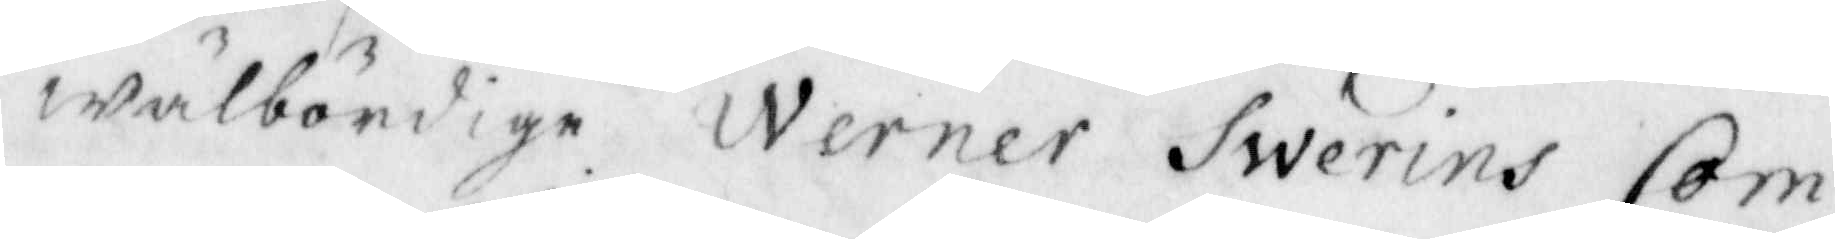wälbördige Werner Swerins Com¬
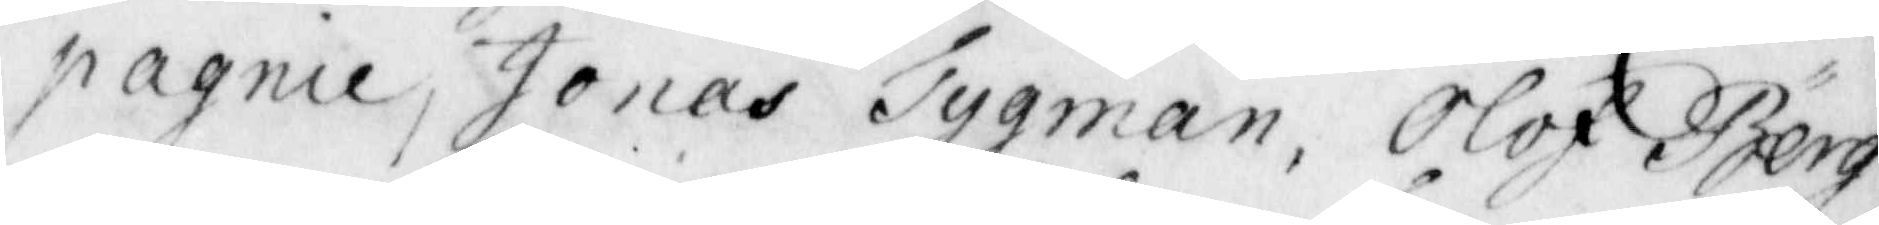pagnie, Jonas Tygman, Olof Berg¬
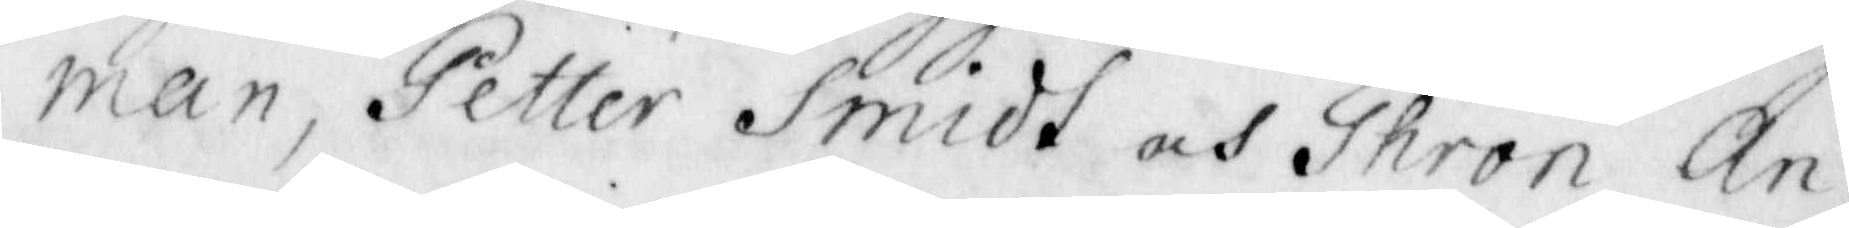man, Petter Smidt och Thron An¬
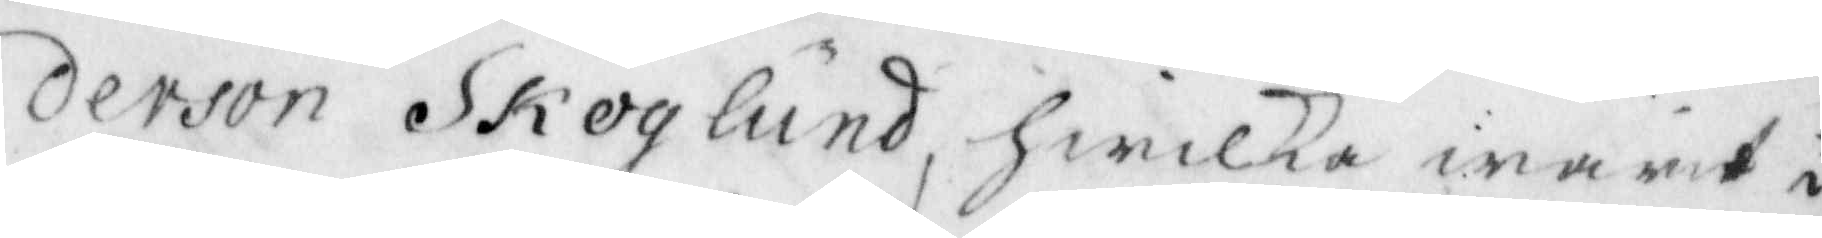derson Skoglund, Hwilka inawid i
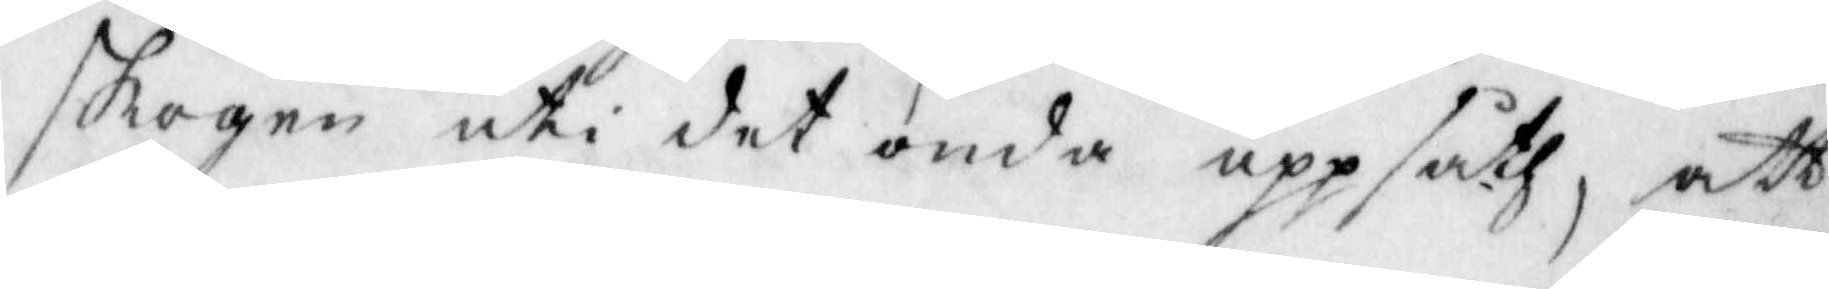skogen uti det onda uppsåth, att
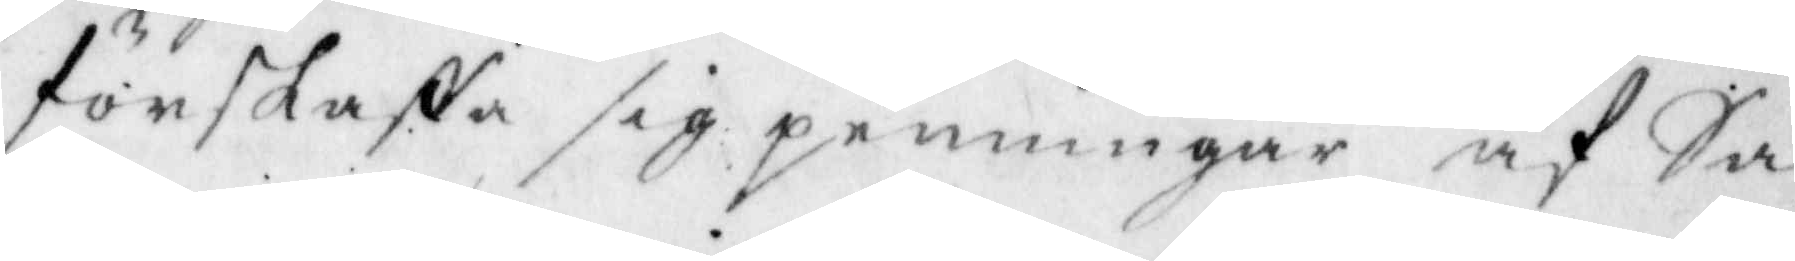förskansa sig penningar af Sa¬
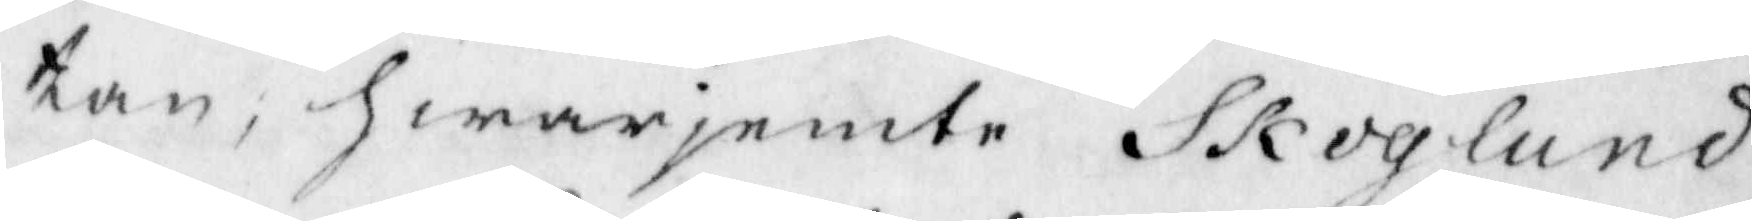tan, hwarjemte Skoglund
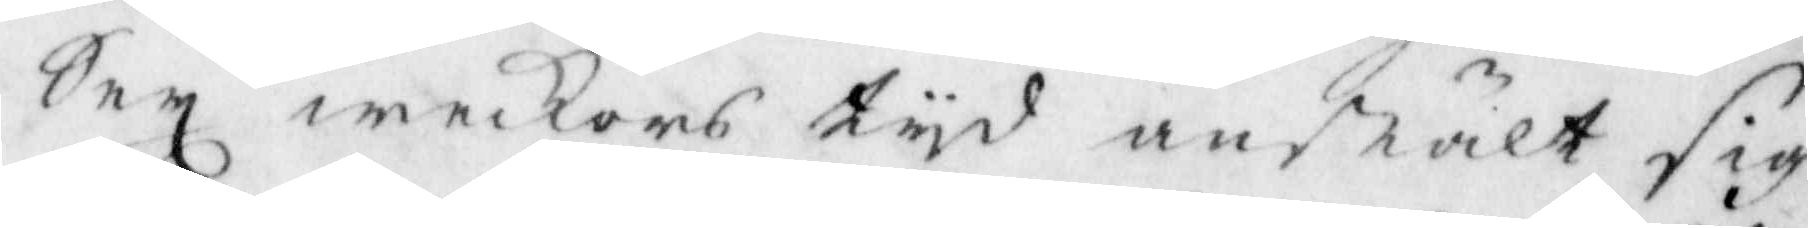Sex weckors tyd anstält sig
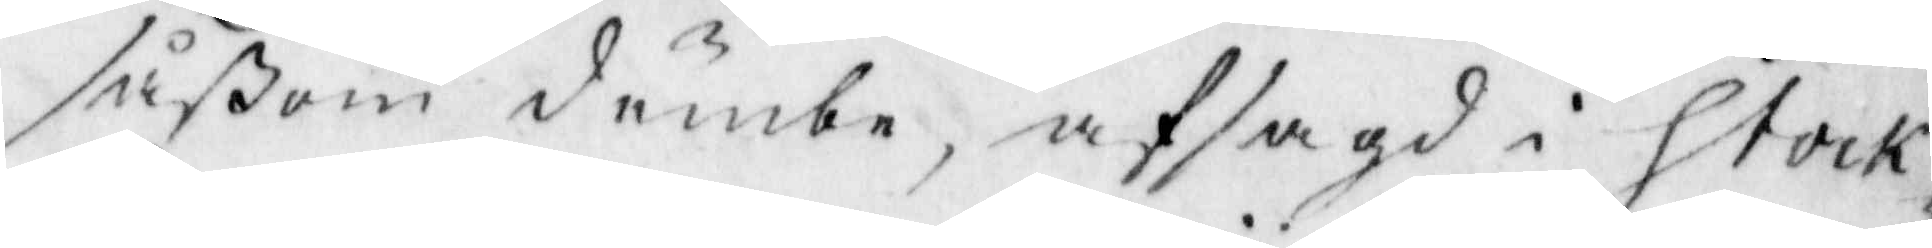såßom dumbe, afsagd i Stock¬
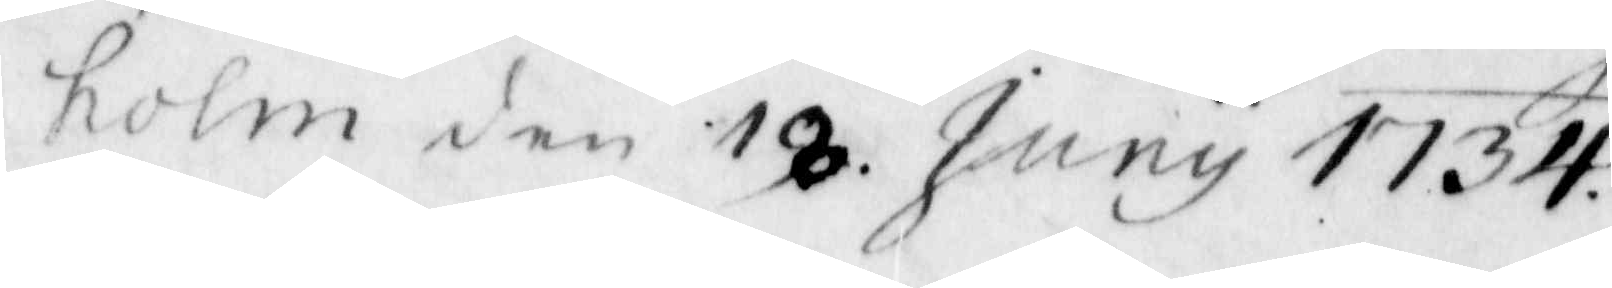holm den 18 Junu 1734.
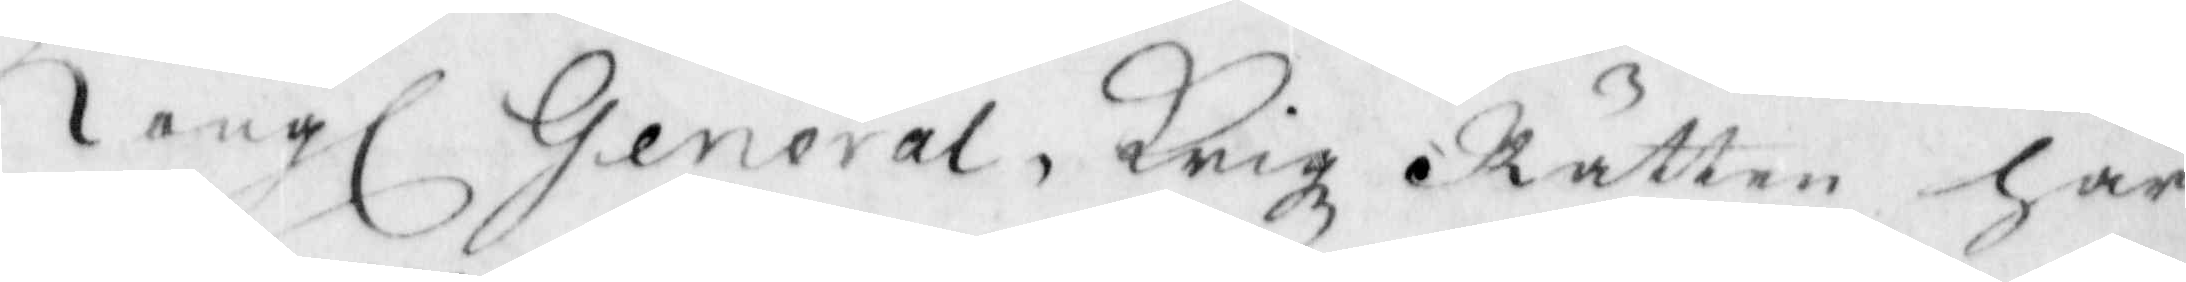Kongl. General Krigz Rätten har
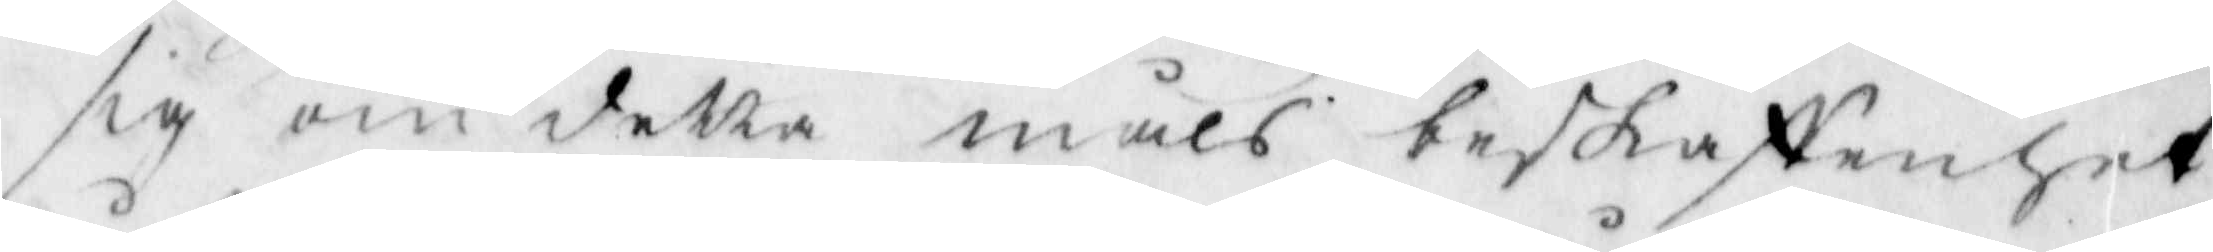sig om detta måls beskaffenhet
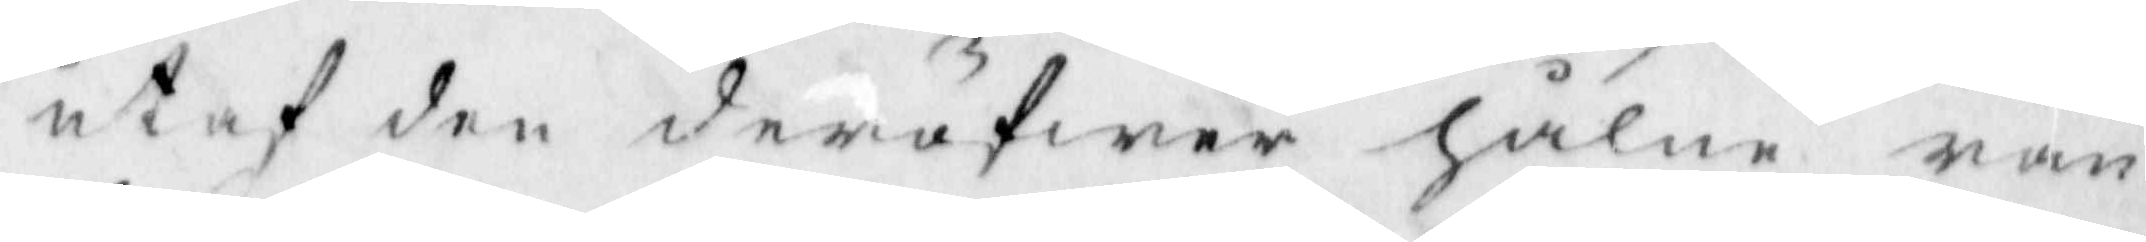utaf den deröfwer hålne ran¬
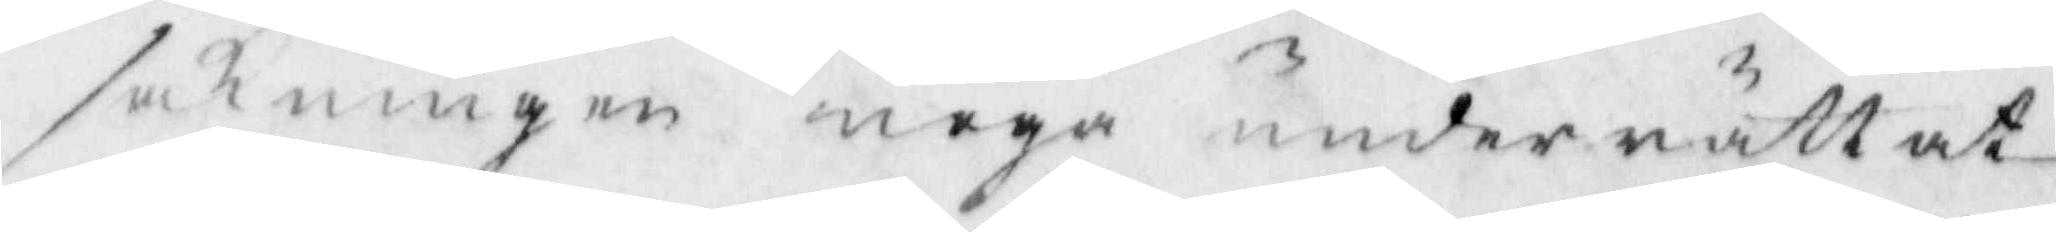sakningen noga underrättat
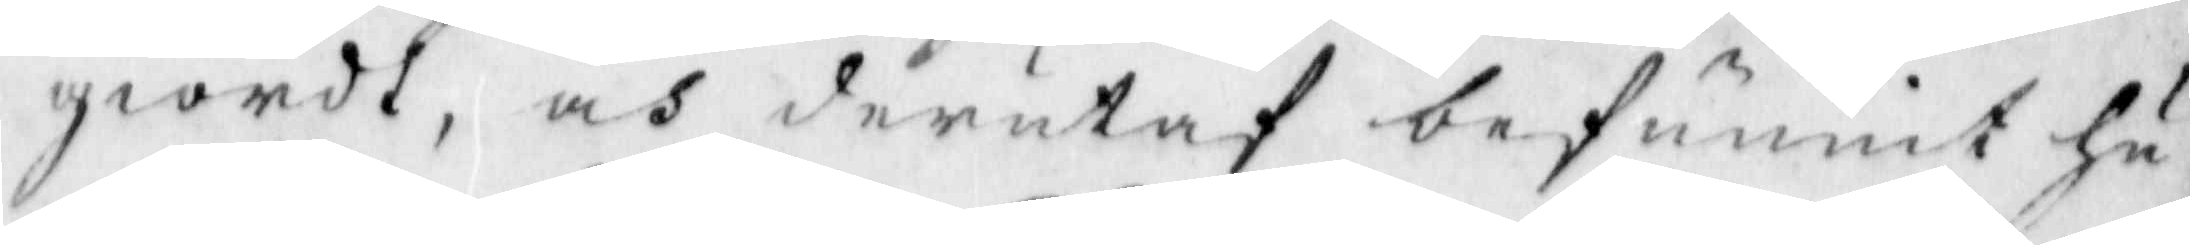giordt, oc derutaf befunnit hu¬
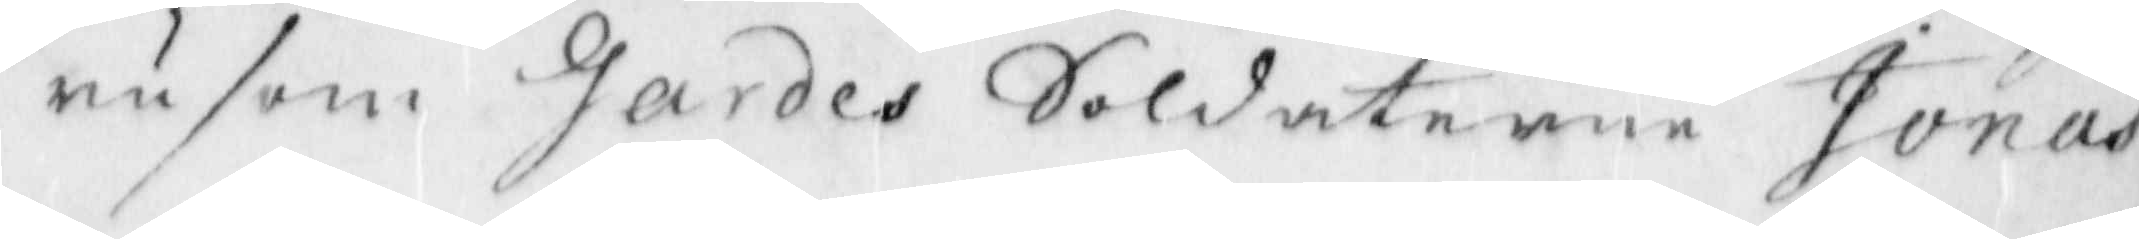rusom Gardes Soldaterne Jonas
